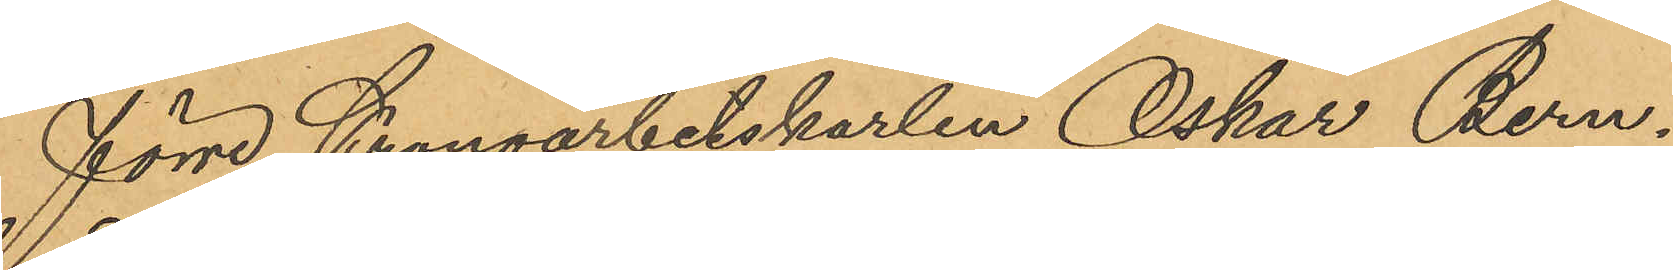förre Kronoarbetskarlen Oskar Bern¬
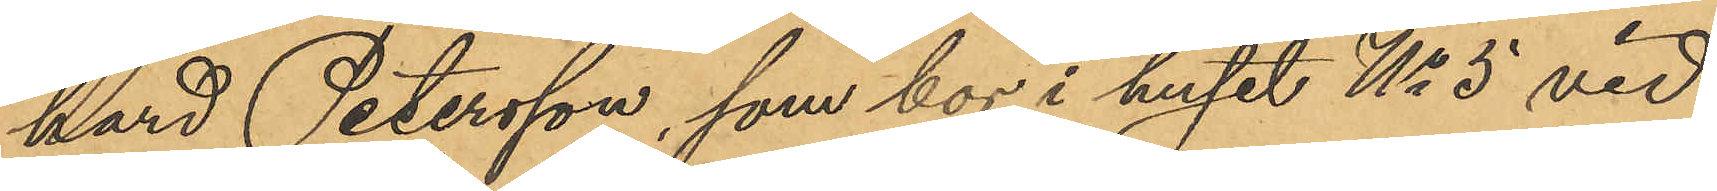hard Petersson, som bor i huset No 5 vid
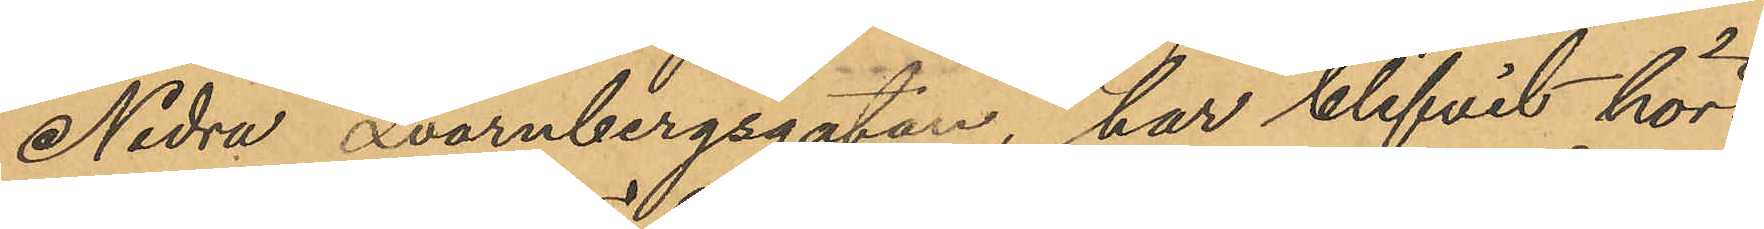Nedra Qvarnbergsgatan, har blifvit hörd,
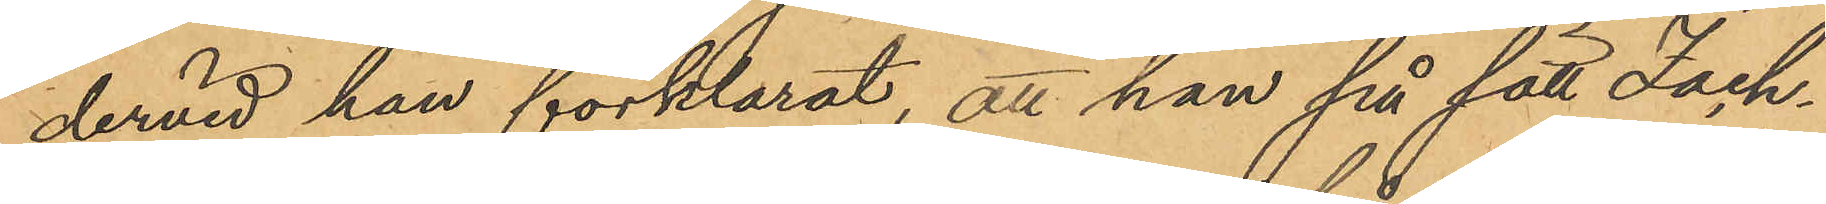dervid han förklarat, att han på sätt Zach¬
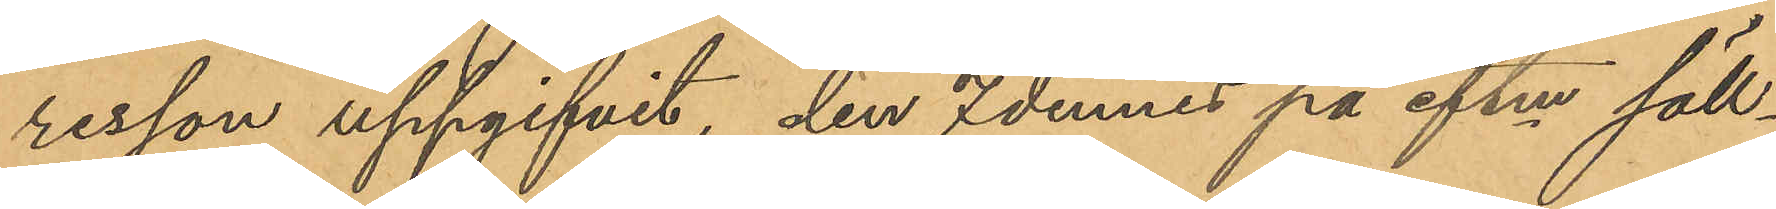risson uppgifvit, den 7 dennes på eftm säll¬
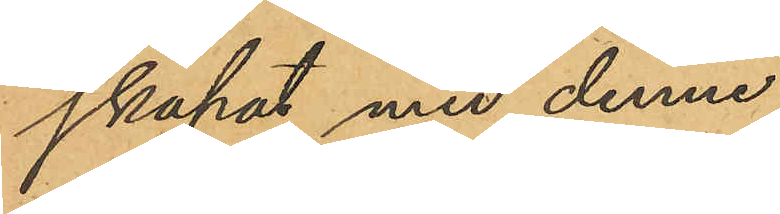skapat med denne.
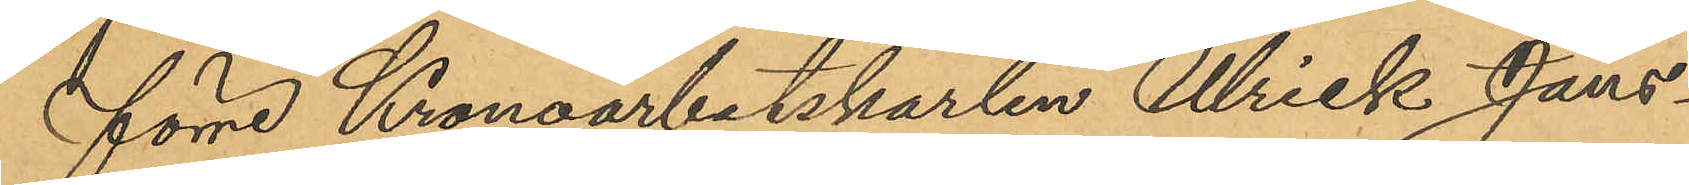förre Kronoarbetskarlen Ulrick Jans¬
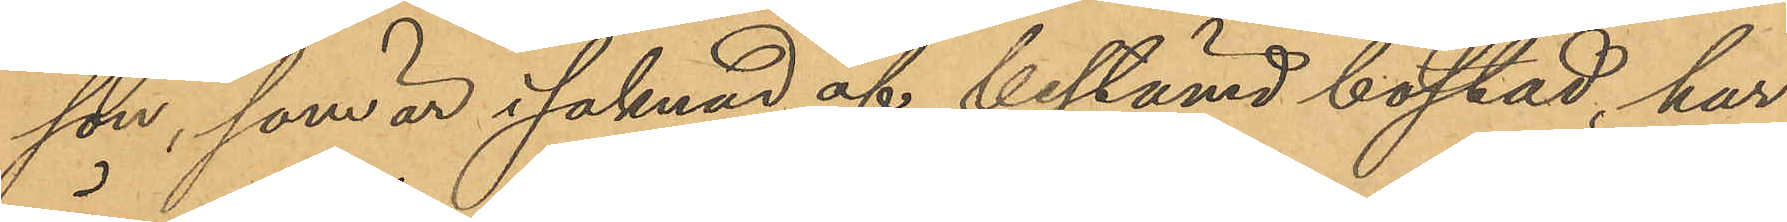son, som är i saknad af bestämd bostad, har
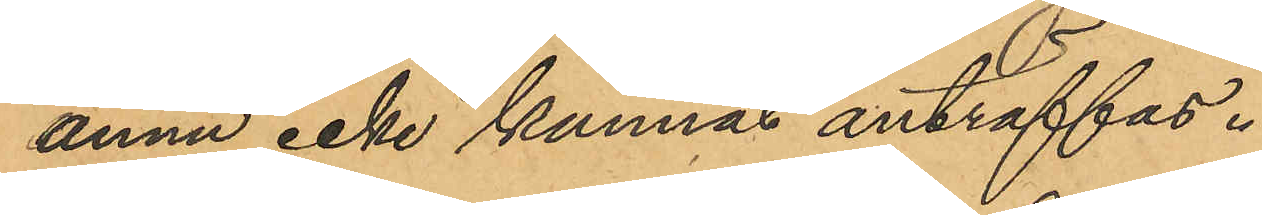ännu icke kunnas anträffas.
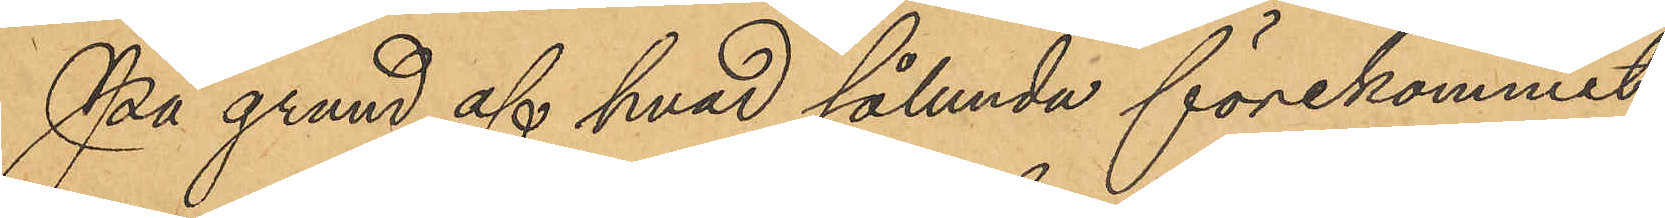På grund af hvad sålunda förekommit
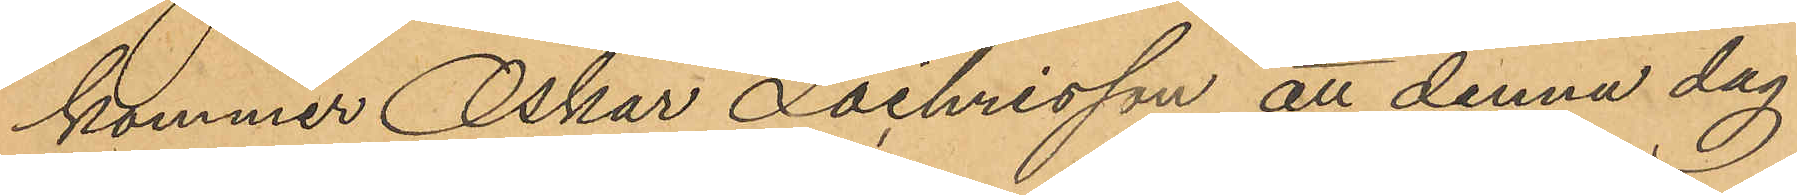kommer Oskar Zachrisson att denna dag
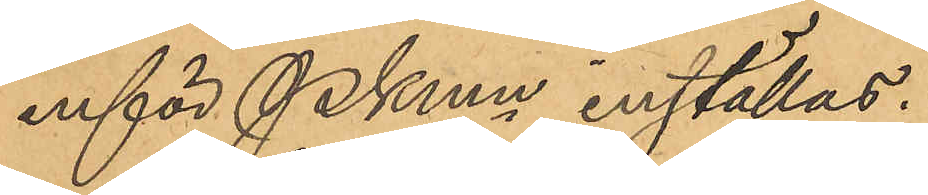inför PKmn inställas.
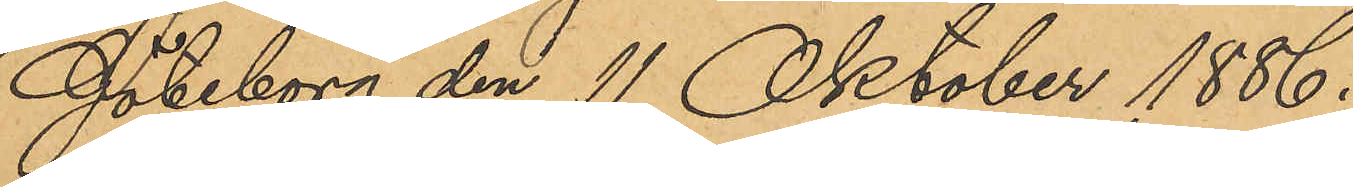Göteborg den 11 Oktober 1886.
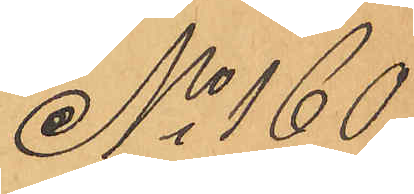No 160
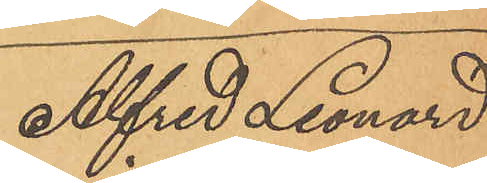Alfred Leonard
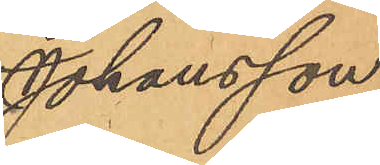Johansson
